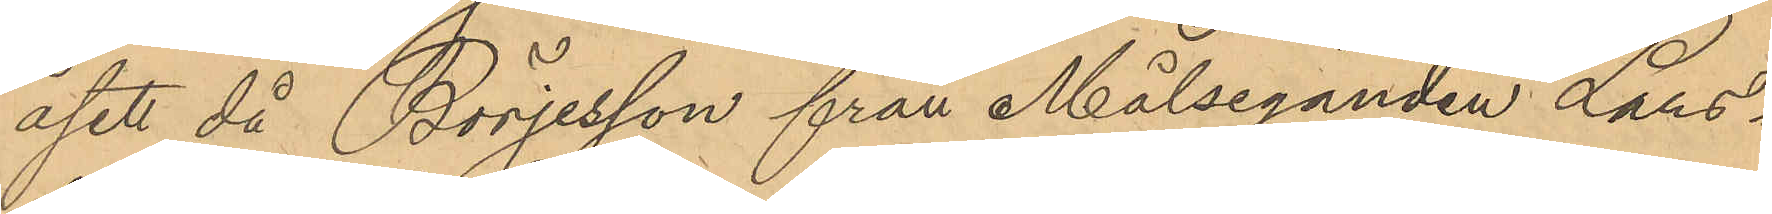åsett då Börjesson från Målseganden Lars¬
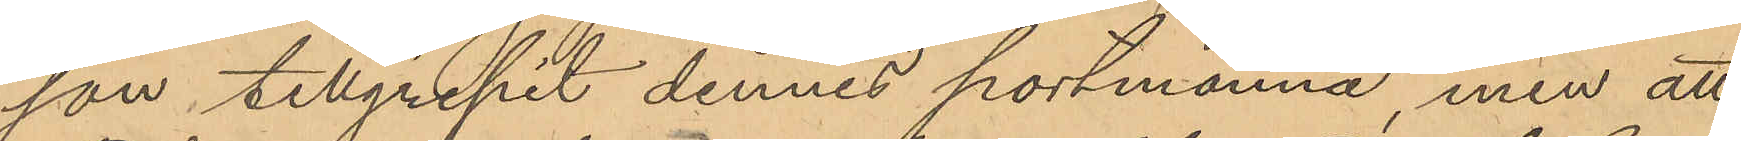son tillgripit dennes portmonnä, men att
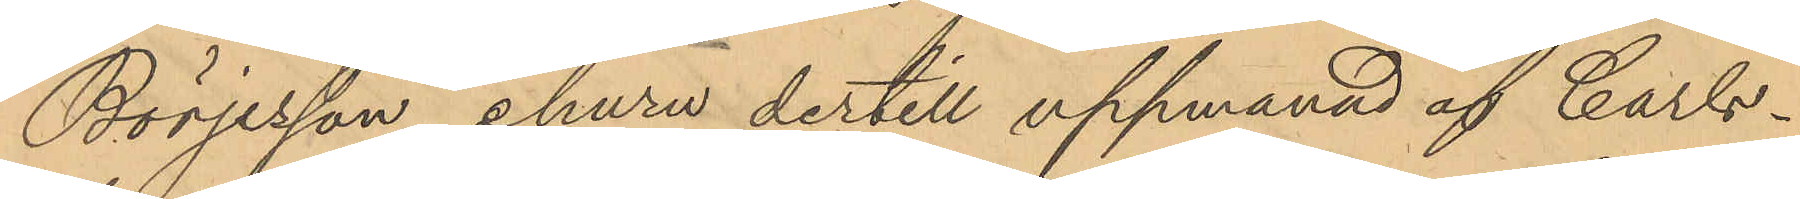Börjesson ehuru dertill uppmannd af Carls¬
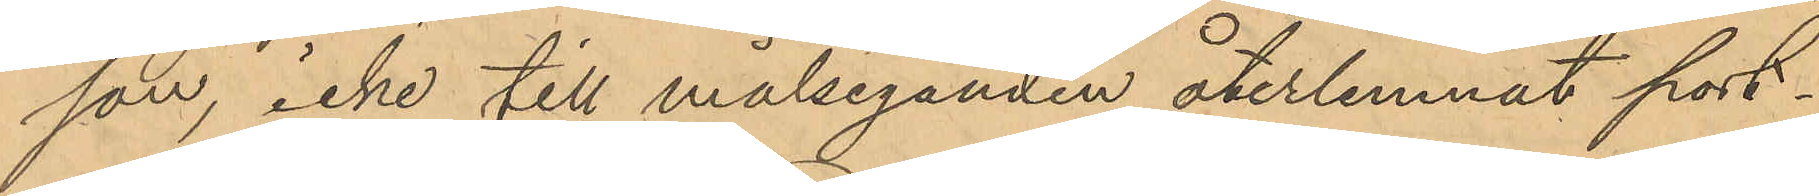son, icke till målseganden återlemnat port¬
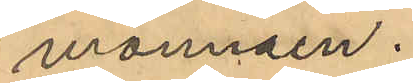monnäen.
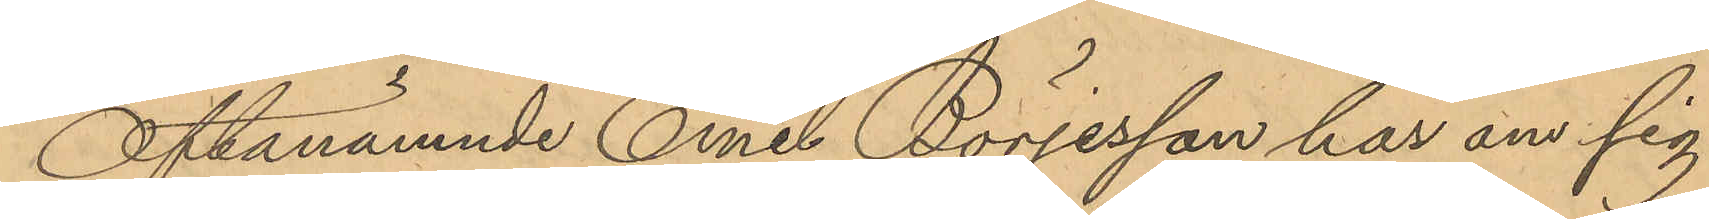Oftanämnde Emil Börjesson har om sig
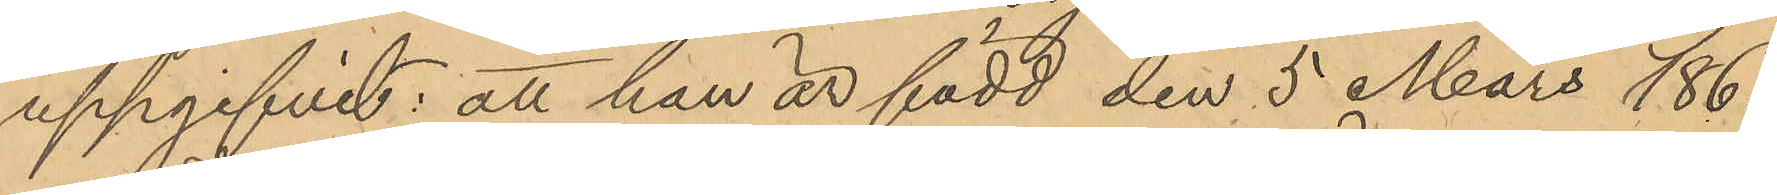uppgifvit: att han är född den 5 Mars 1861
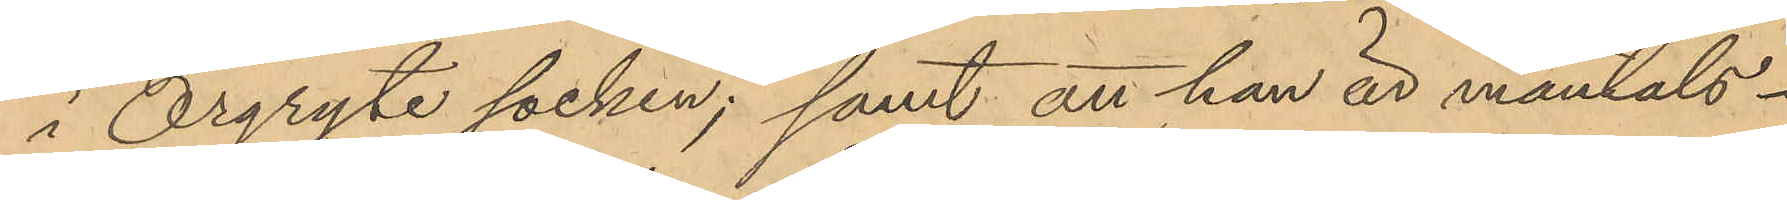i Örgryte socken; samt att han är mantals-
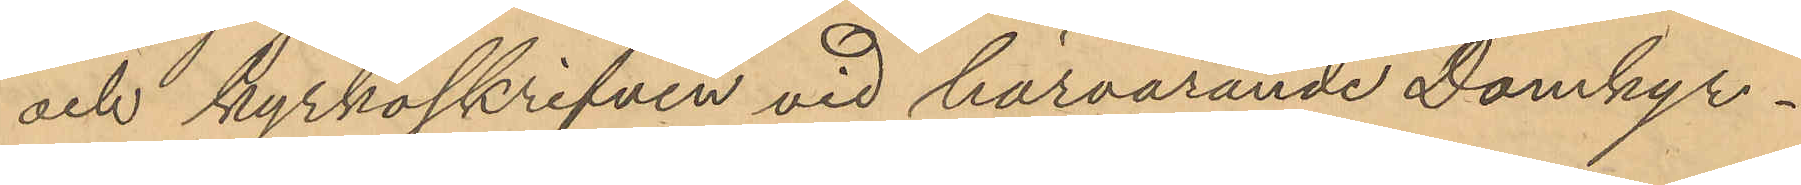och kyrkoskrifven vid härvarande Domkyr¬
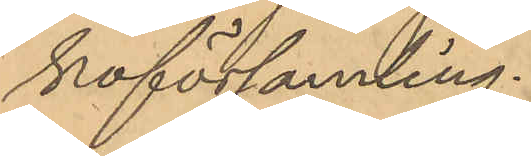koförsamling.
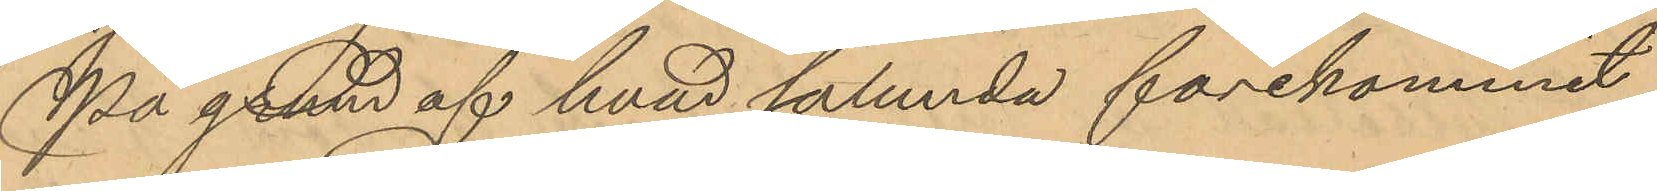På grund af hvad sålunda förekommit
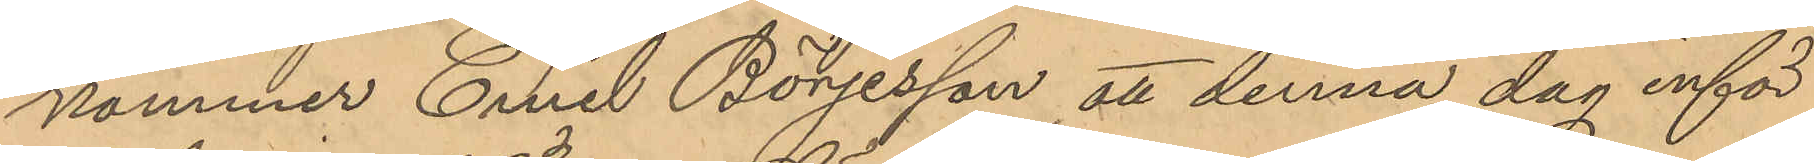kommer Emil Börjesson att denna dag inför
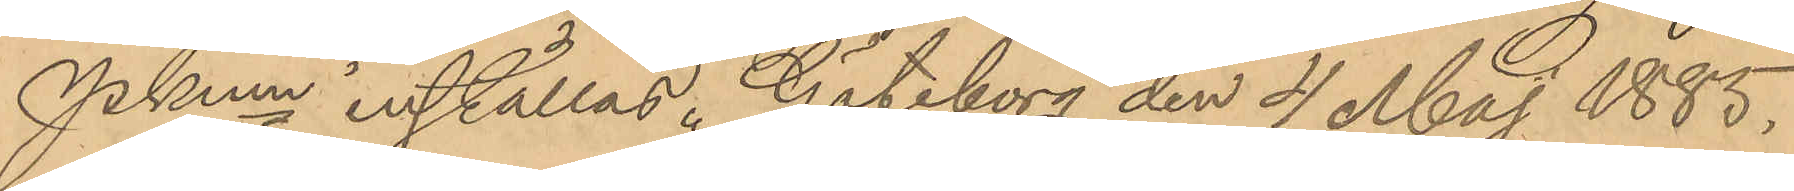Pkmn inställas. Göteborg den 4 Maj 1885.
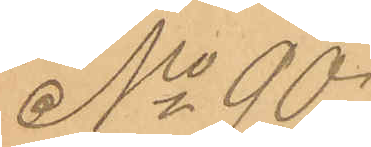No 90
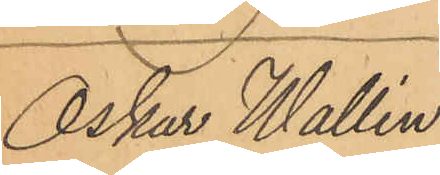Oskar Wallin
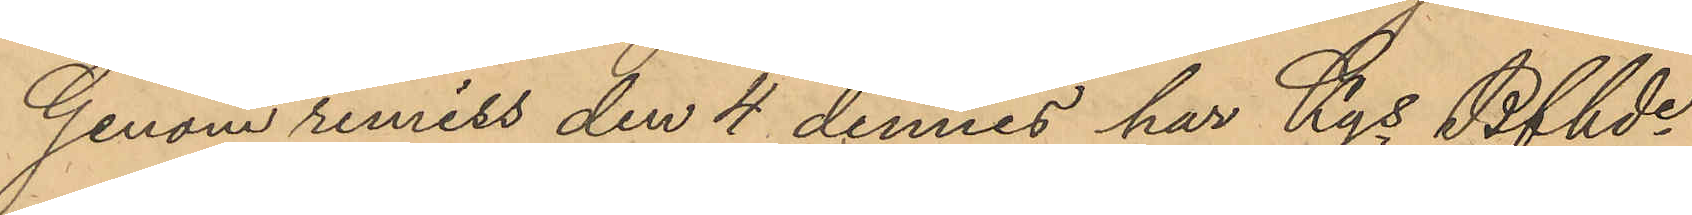Genom remiss den 4 dennes har Kgs Bfhde
